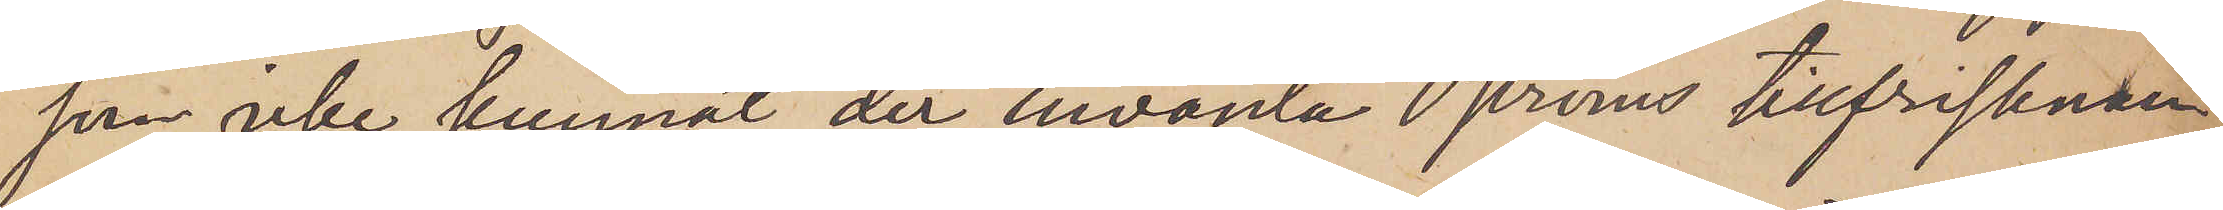som icke kunnat der invänta Öströms tillfrisknan¬
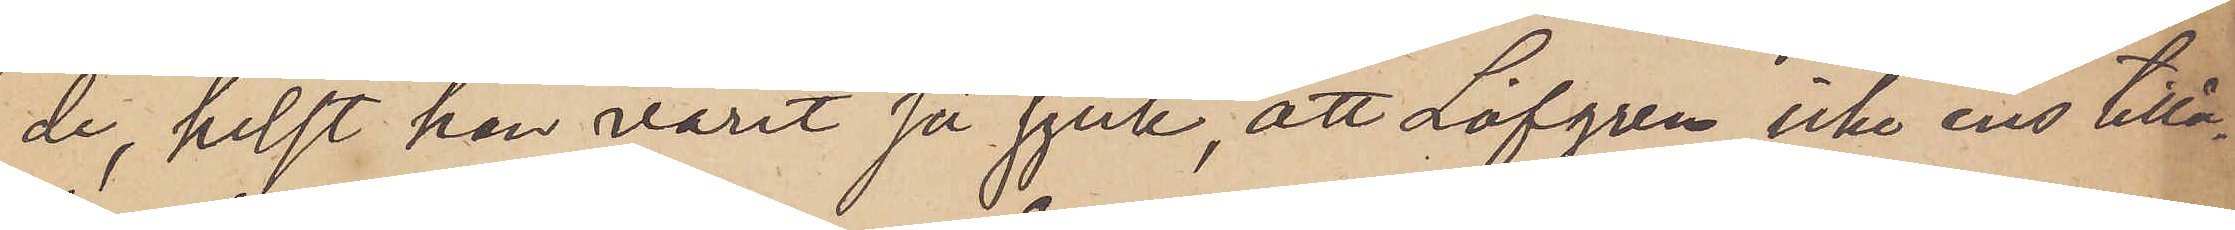de, helst han varit så sjuk, att Löfgren icke ens tillå¬
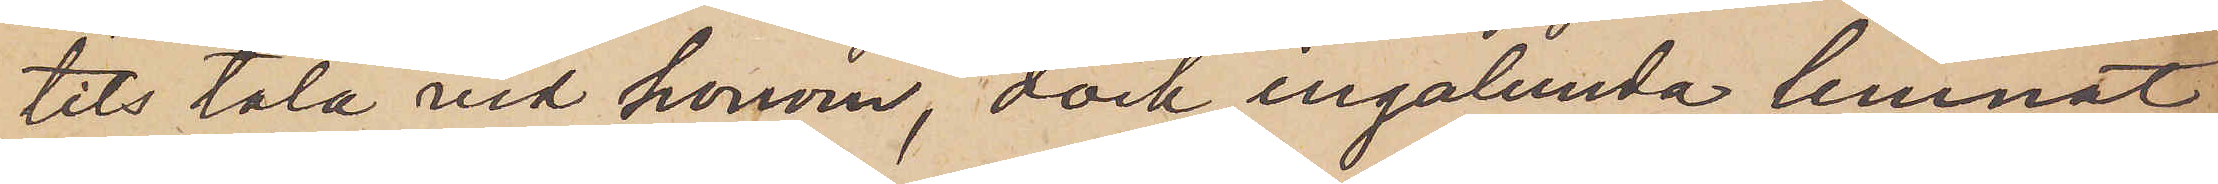tits tala vid honom, dock ingalunda lemnat
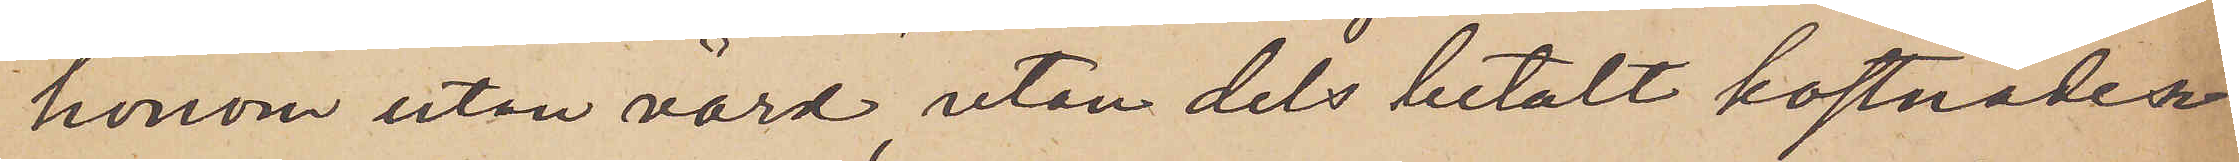honom utan vård, utan dels betalt kostnaden
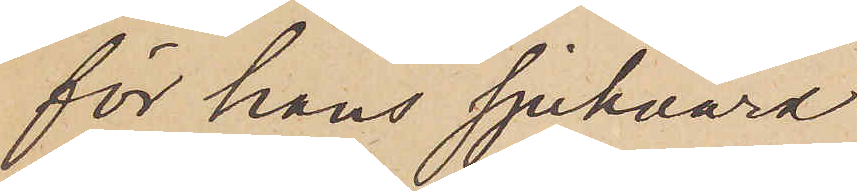för hans sjukvård
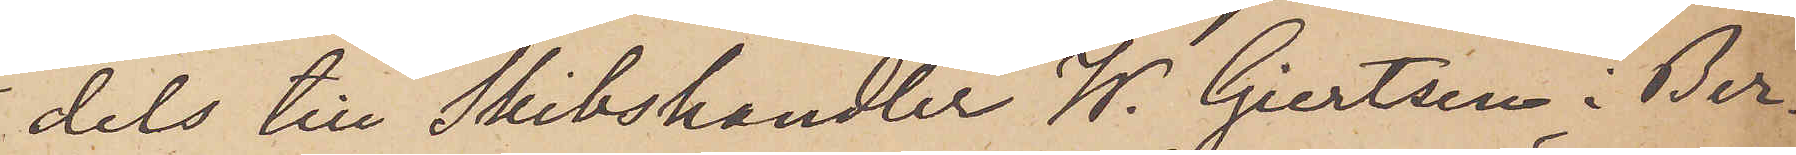dels till Skibshandler W. Giertsen i Ber¬
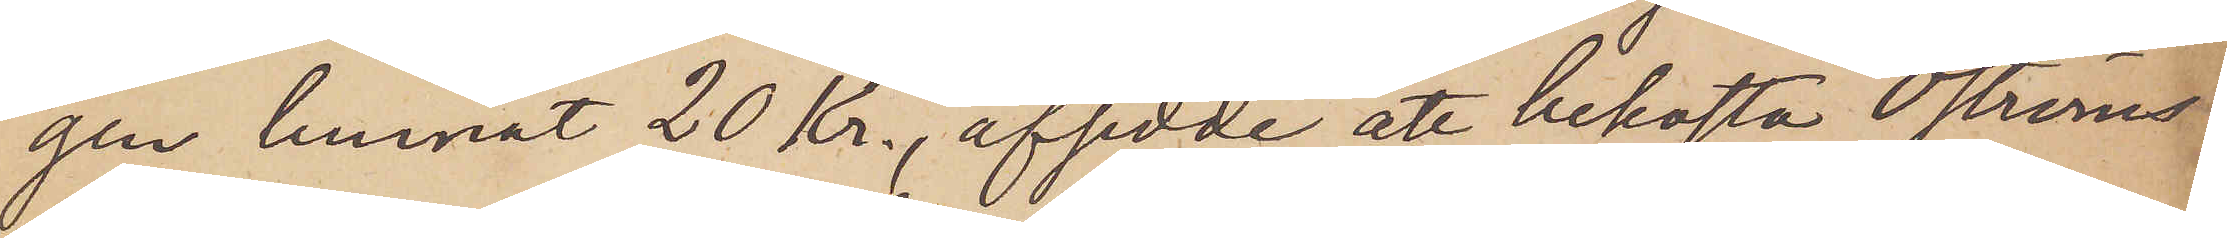gen lemnat 20 Kr., afsedde att bekofta Öströms
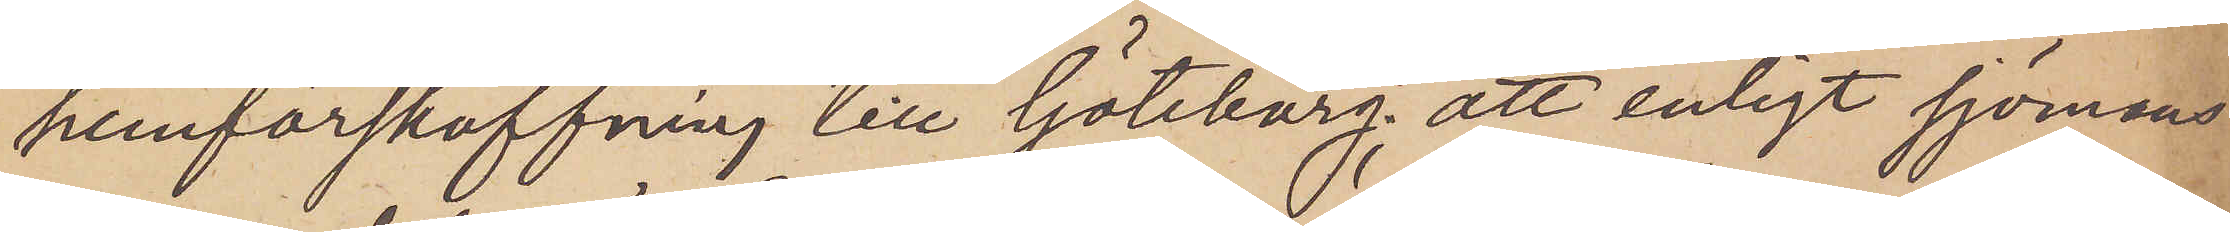hemförskaffning till Göteborg; att enligt sjömans¬
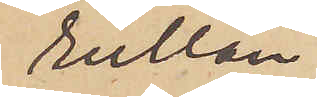rullan
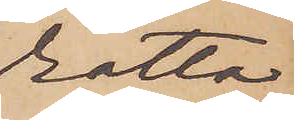rätta
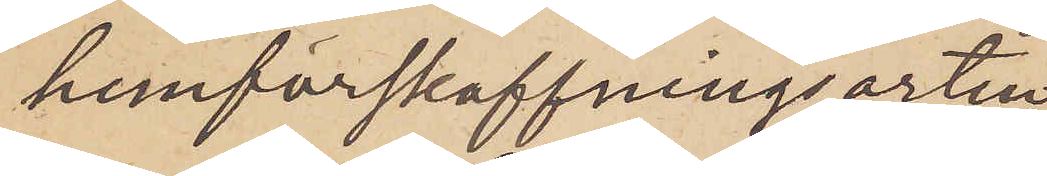hemförskaffningsorten
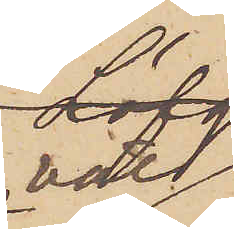väl
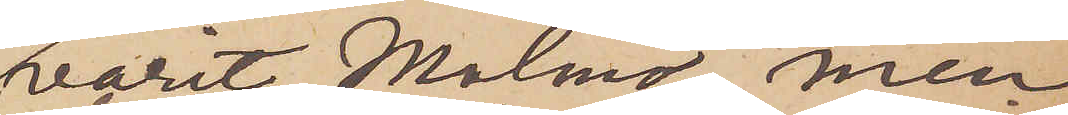varit Malmö, men
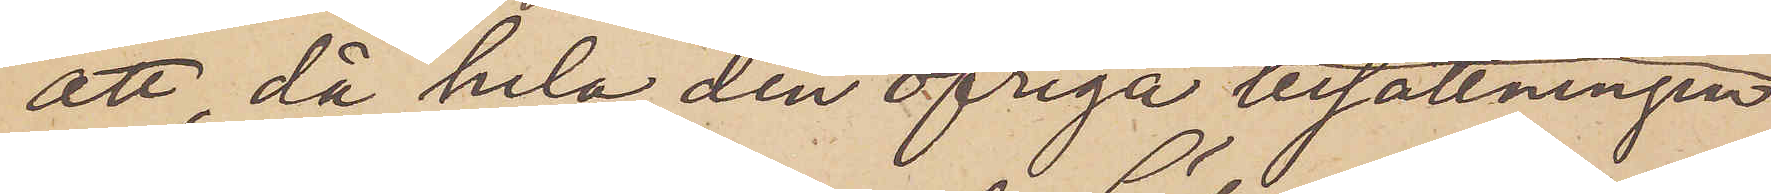att, då hela den öfriga besättningen
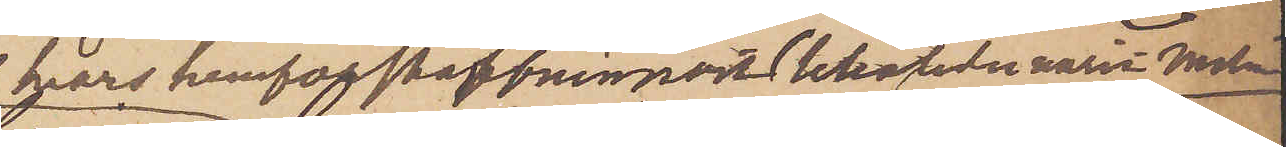hvars hemförskaffningort likaledes varit Malmö
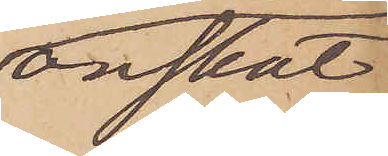önskat
